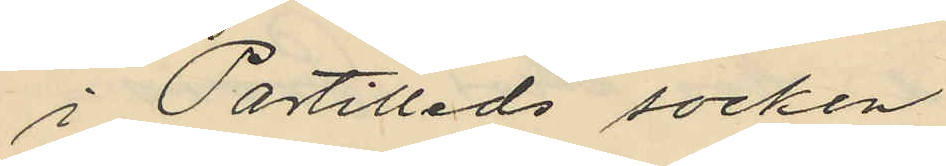i Partilleds socken,
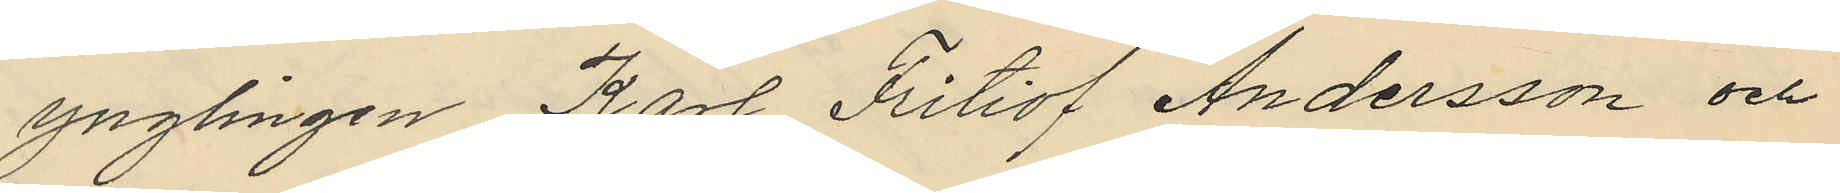ynglingen Karl Fritiof Andersson och
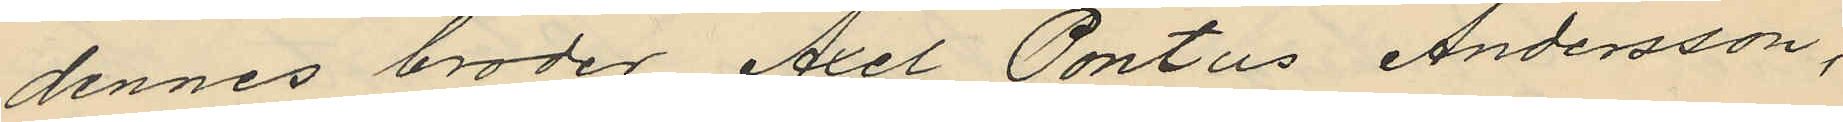dennes broder Axel Pontus Andersson,
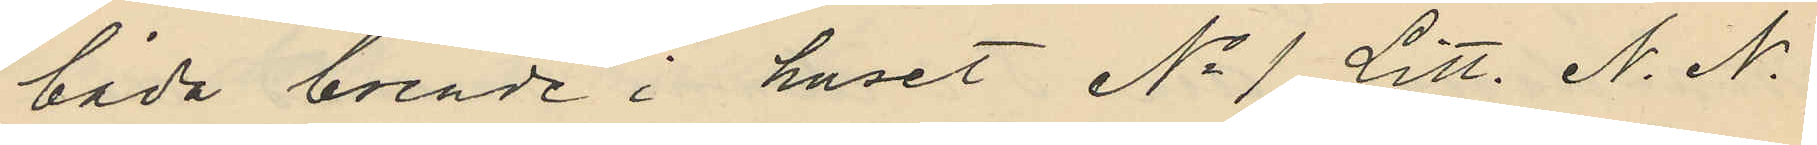båda boende i huset No 1 Litt. N. N.
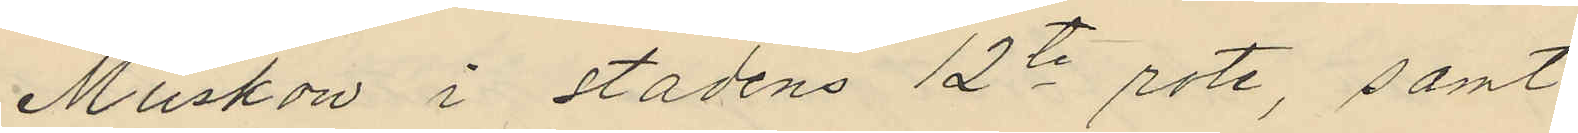Muskow i stadens 12te rote, samt
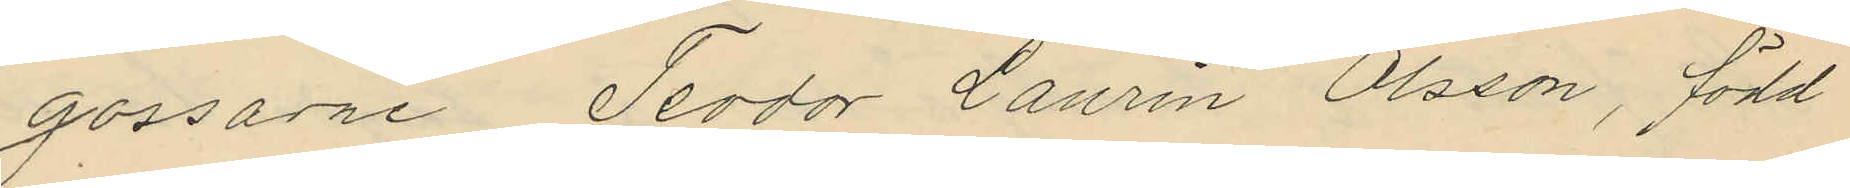gossarne Teodor Laurin Olsson, född
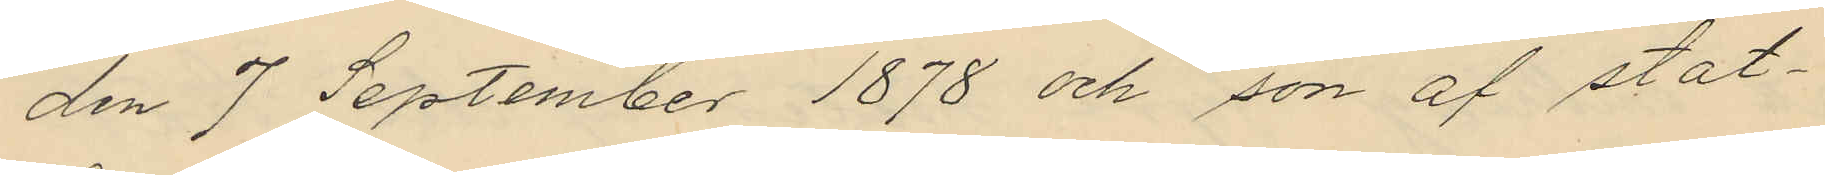den 7 September 1878 och son af stat¬
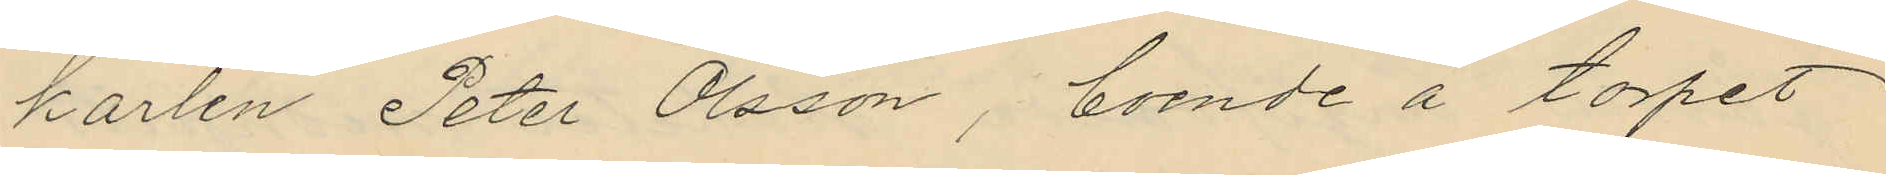karlen Peter Olsson, boende å torpet
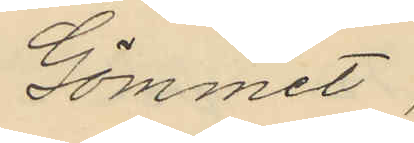Gömmet,
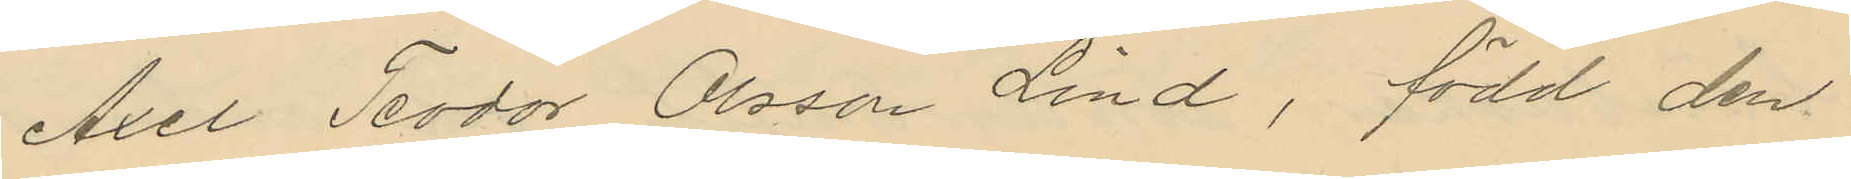Axel Teodor Olsson Lind, född den
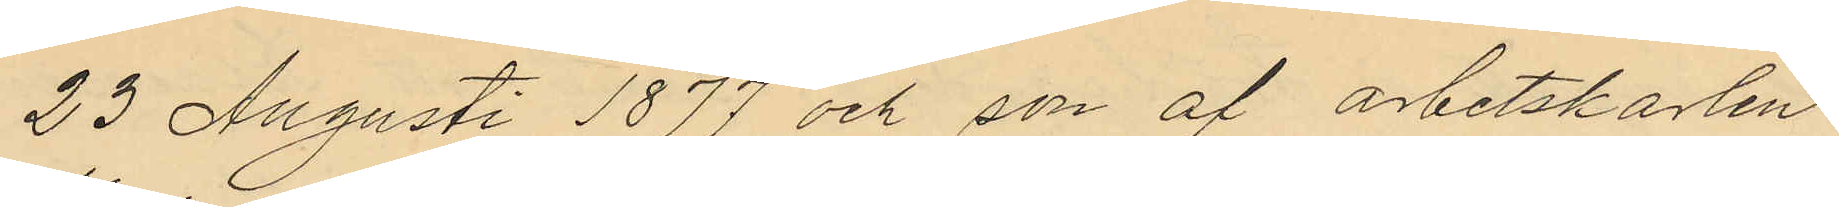23 Augusti 1877 och son af arbetskarlen
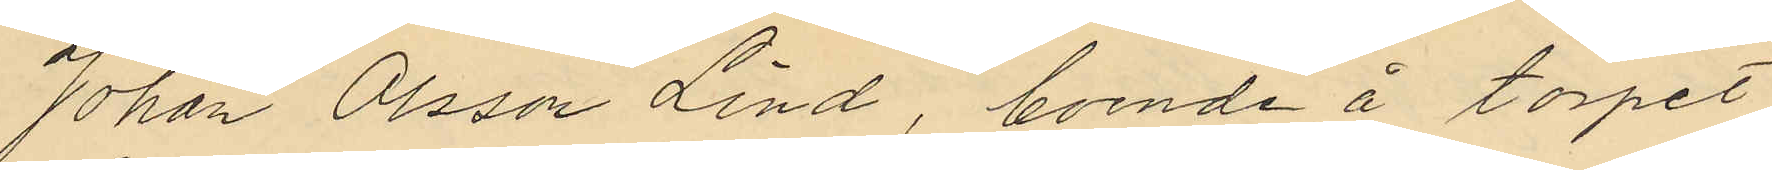Johan Olsson Lind, boende å torpet
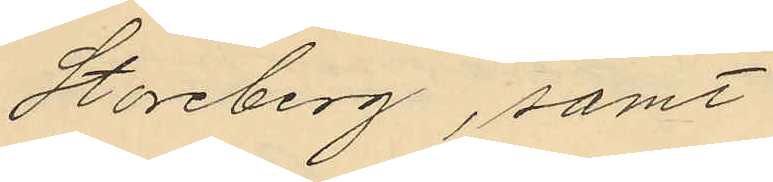Storeberg, samt
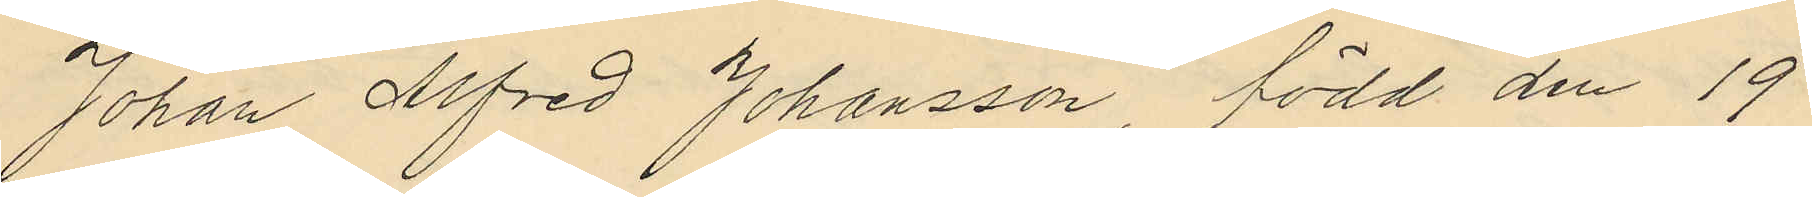Johan Alfred Johansson, född den 19
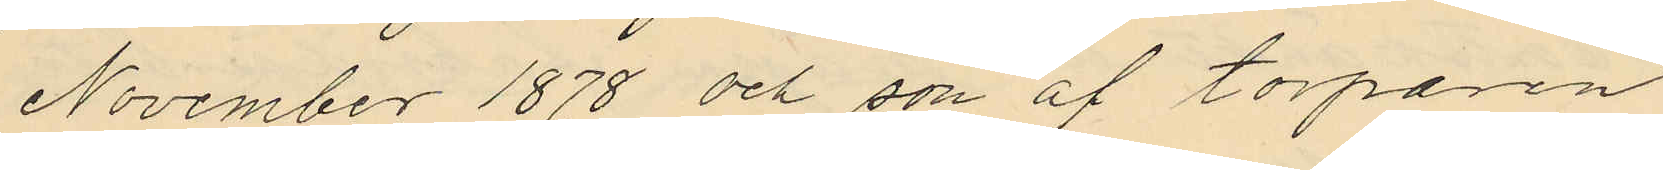November 1878 och son af torparen
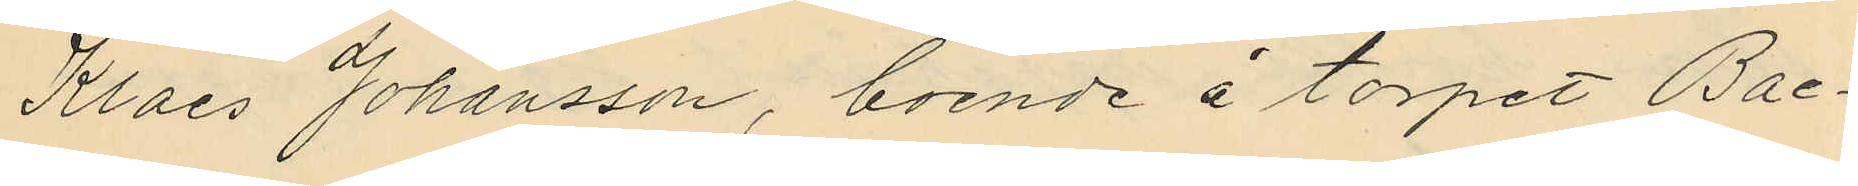Klaes Johansson, boende å torpet Bac¬
